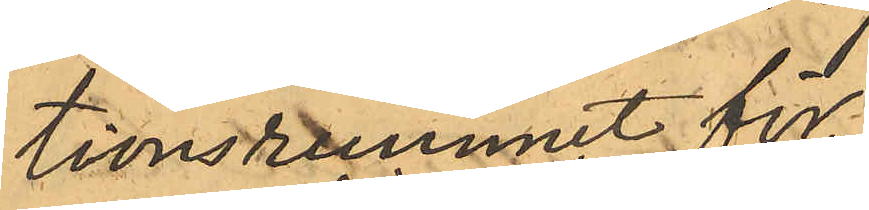tionsrummet för
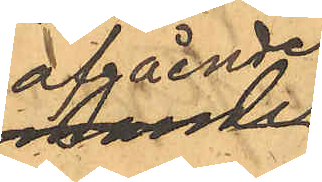afgående
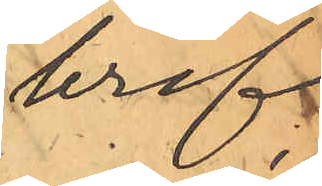bref;
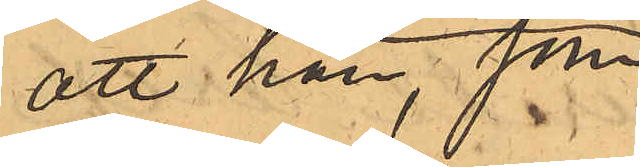att han, som
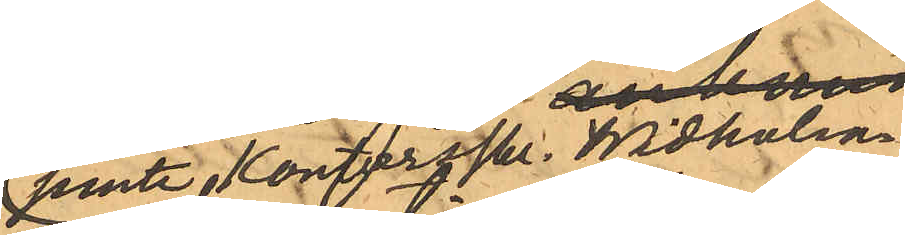jemte Kontorskr. Widholm.
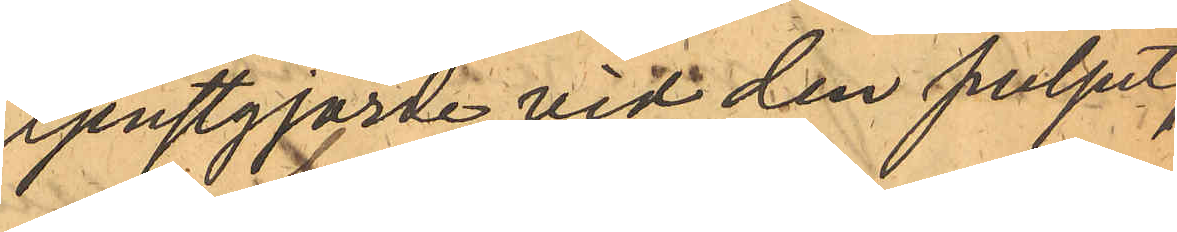tjenstgjorde vid den pulpet,
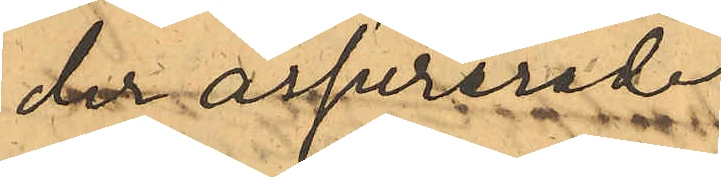der assurerade
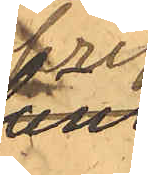bref
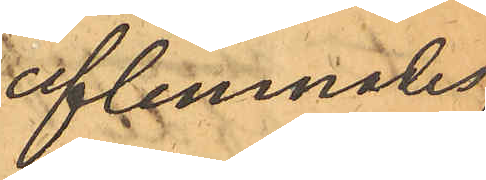aflemnades,
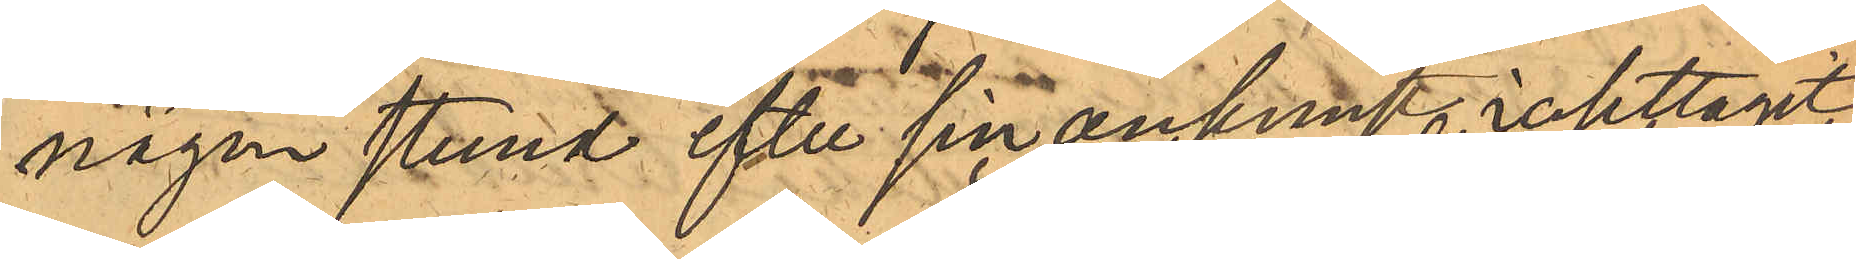någon stund efter sin ankomst iakttagit
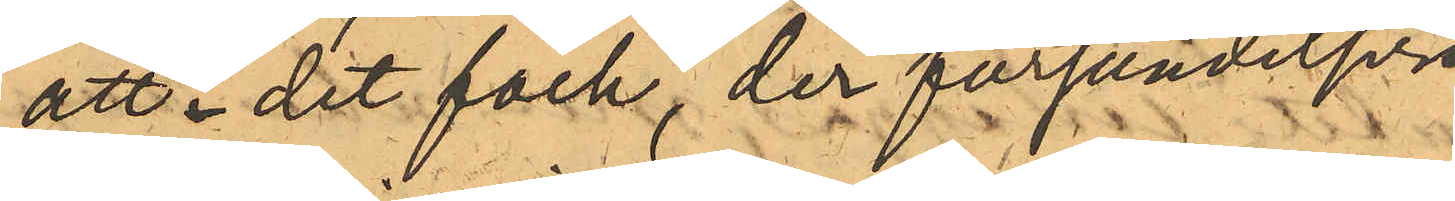att i det fack, der försändelser
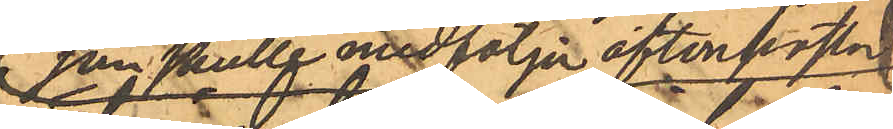som skulle medfölja aftonposten
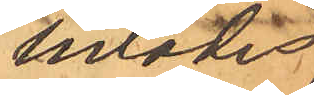inlades,
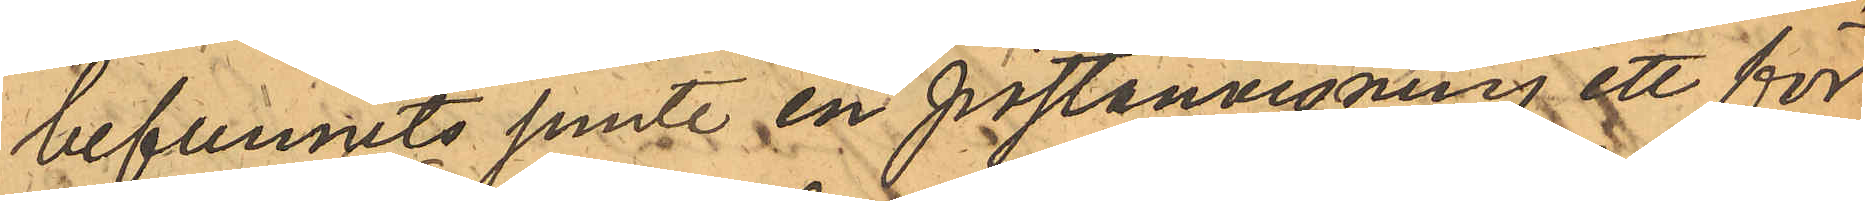befunnits jemte en postanvisning ett för
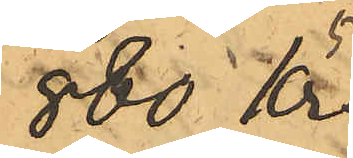880 Kr
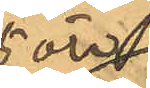5 öre
